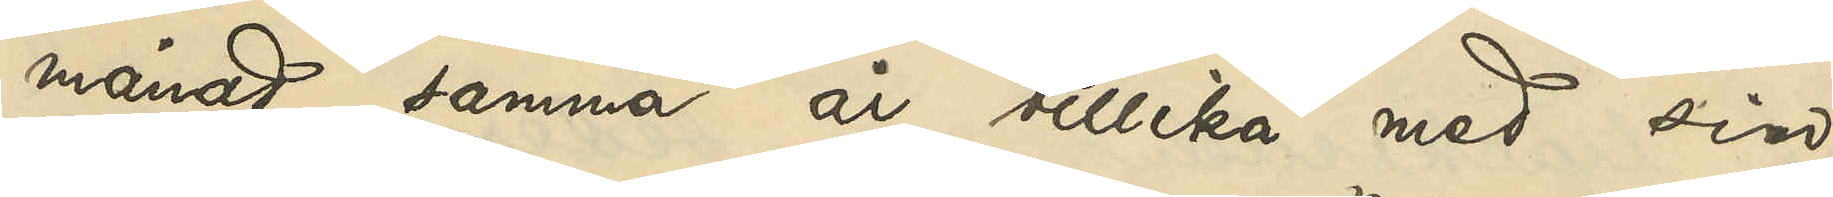månad samma år tillika med sin
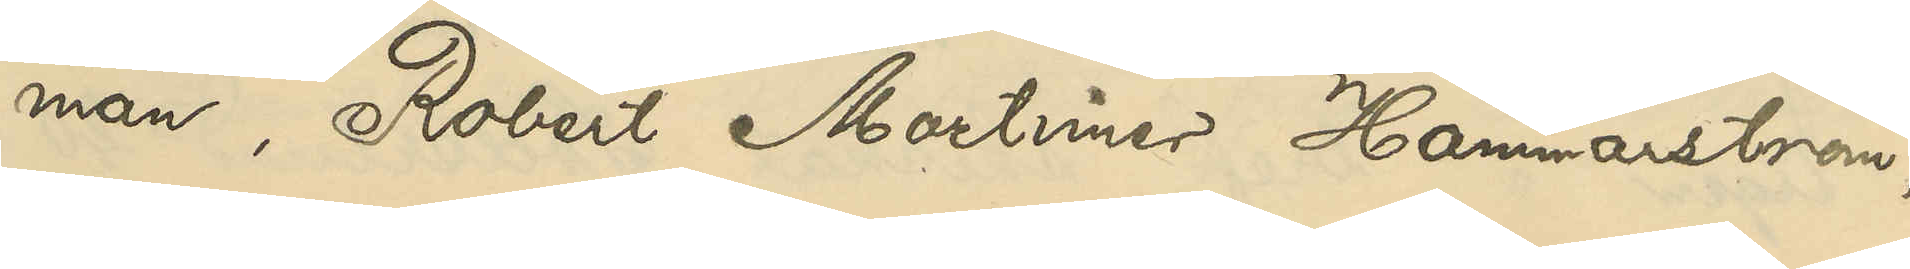man, Robert Mortimer Hammarström,
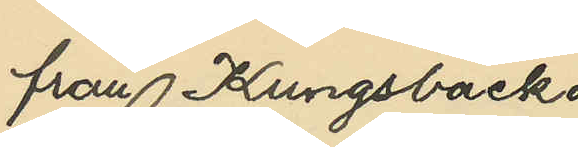från Kungsbacka
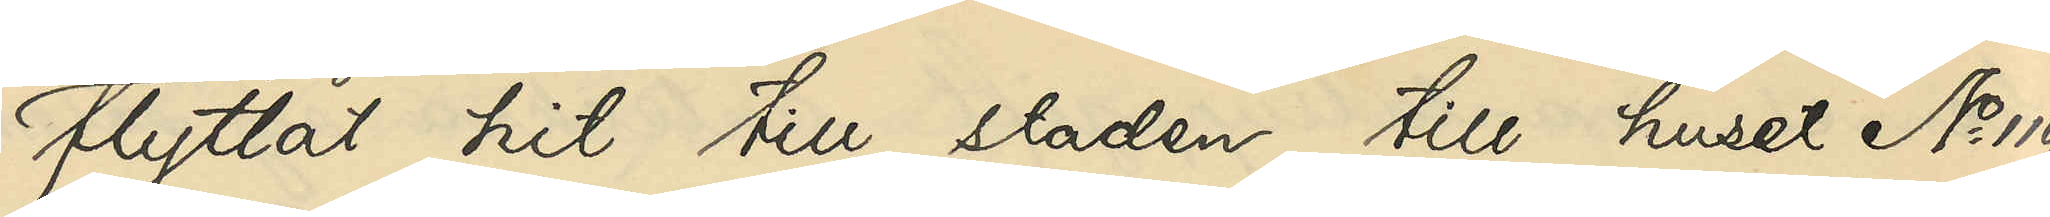flyttat hit till staden till huset No 119
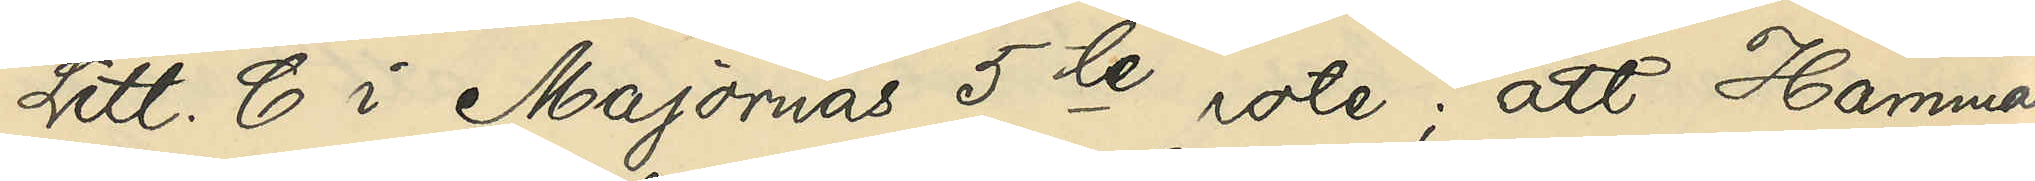LItt. C i Majornas 5te rote; att Hammar¬
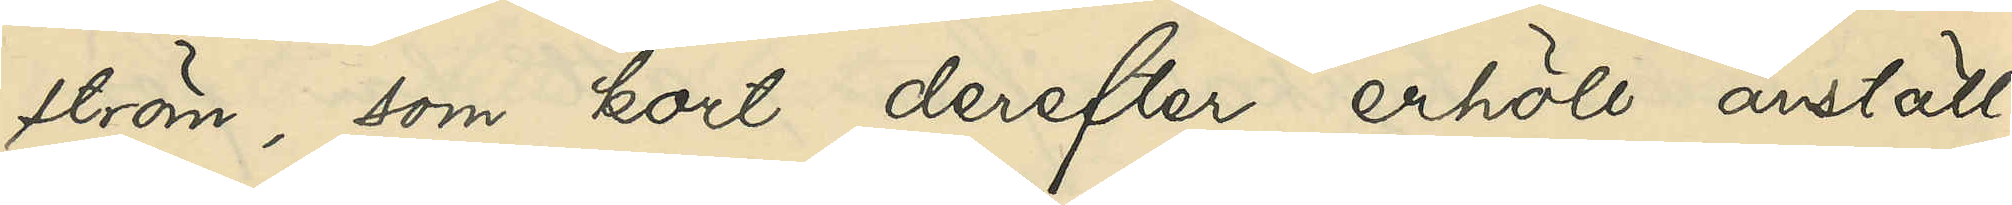ström, som kort derefter erhöll anställ¬
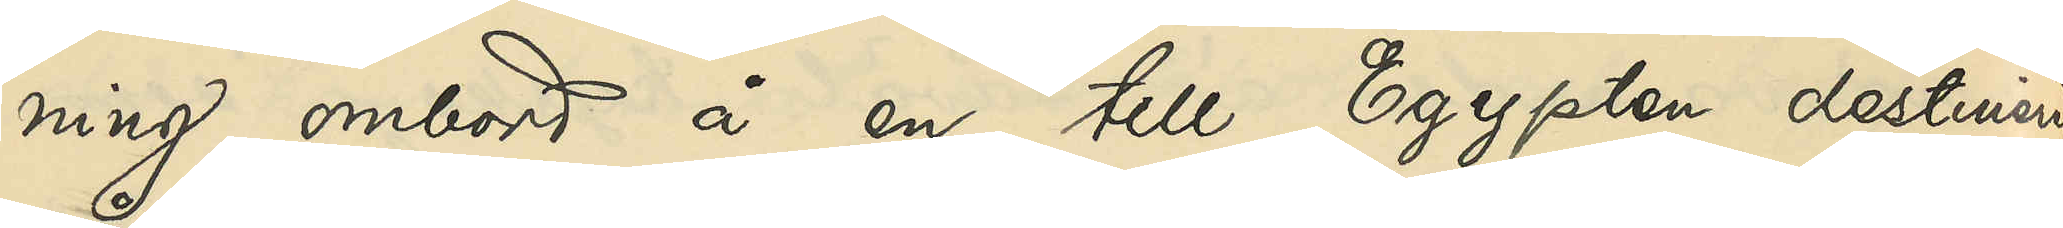ning ombord å en till Egypten destinerad
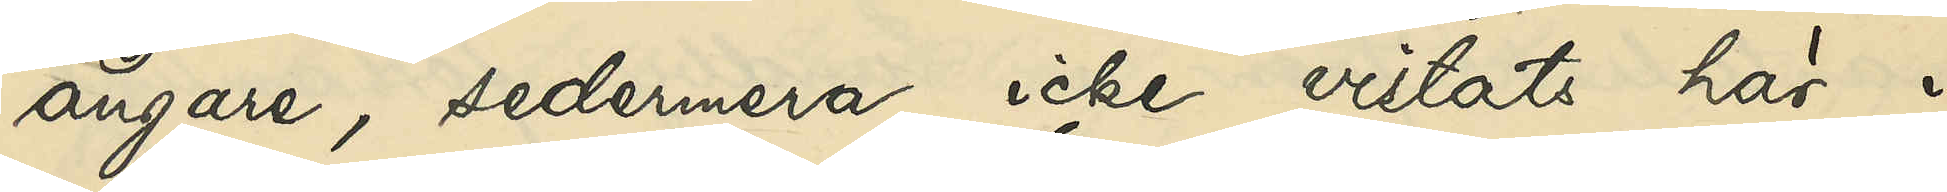ångare, sedermera icke vistats här i
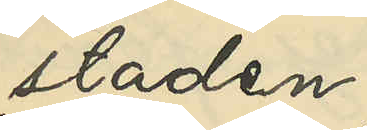staden
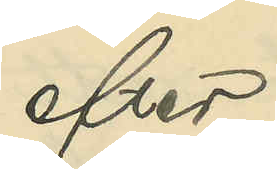att efter
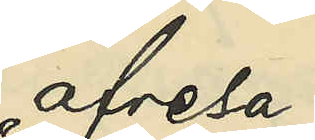afresa
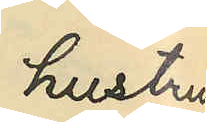hustrun
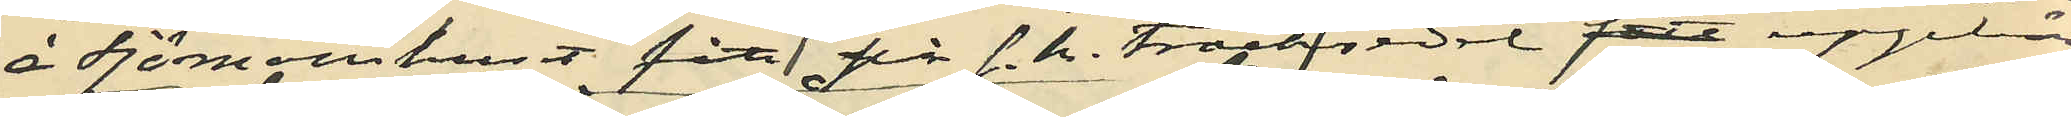å Sjömanshuset fått för s. k. träcksedel uppbära
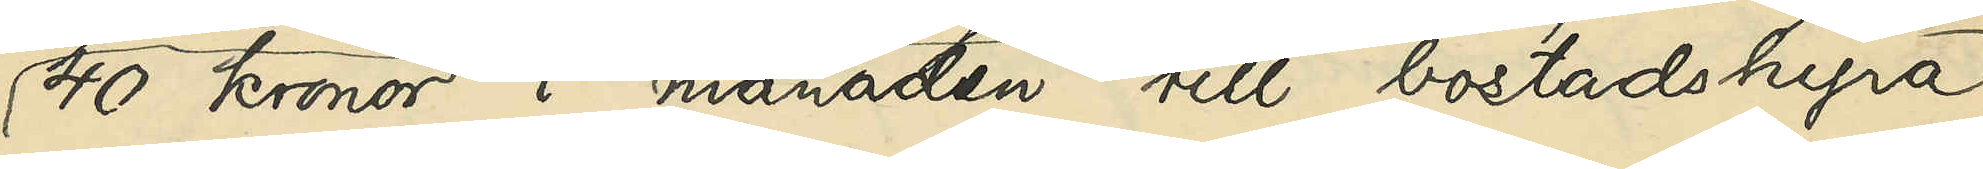40 kronor i månaden till bostadhyra
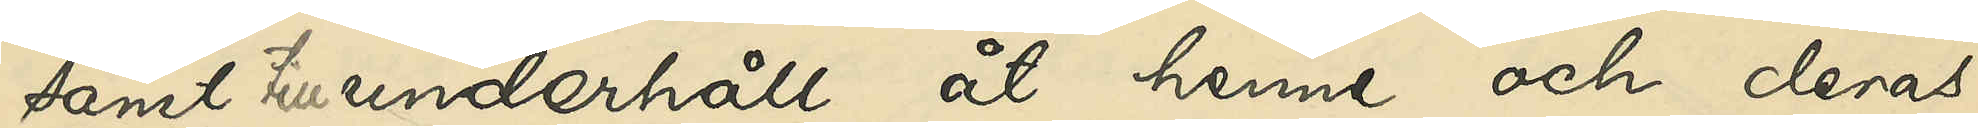samt till underhåll åt henne och deras
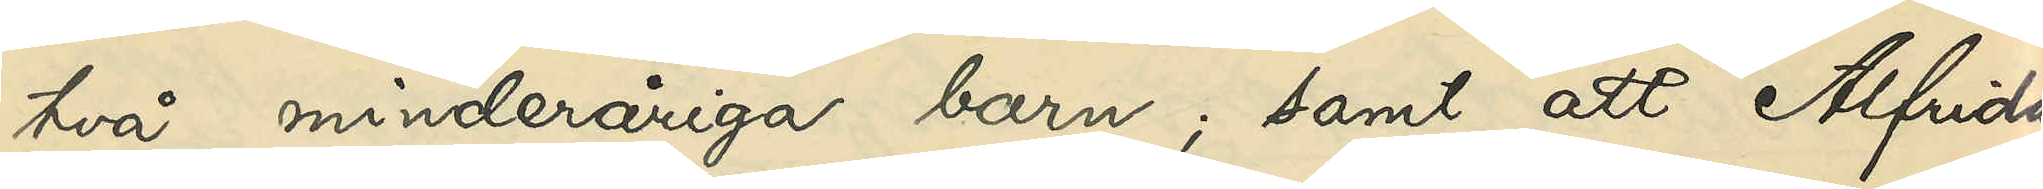två minderåriga barn; samt att Alfrida
